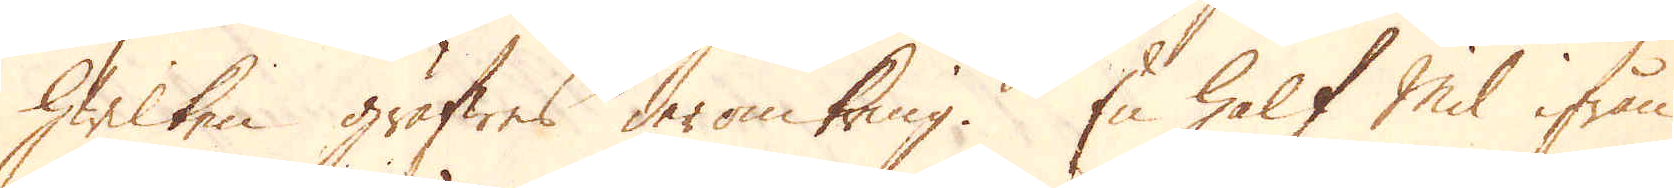hwilken gräfwes deromkring. En half Mil ifrån
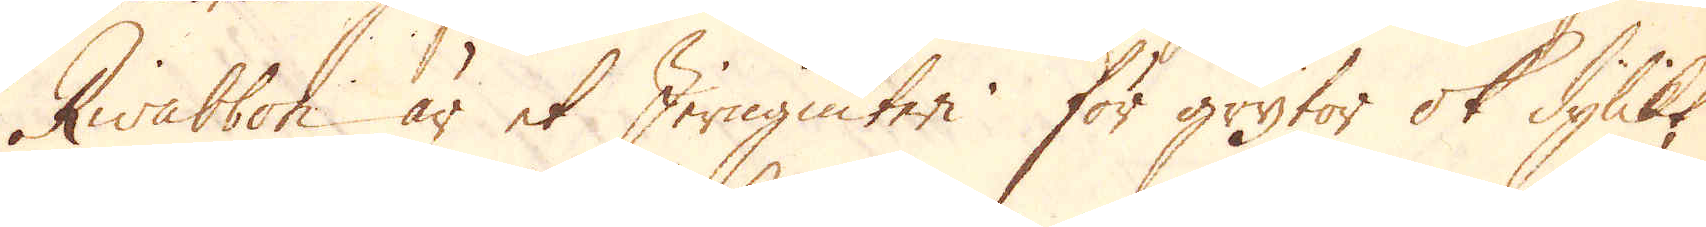Rwabbon är et Jerngiuteri för grytor ok dylikt
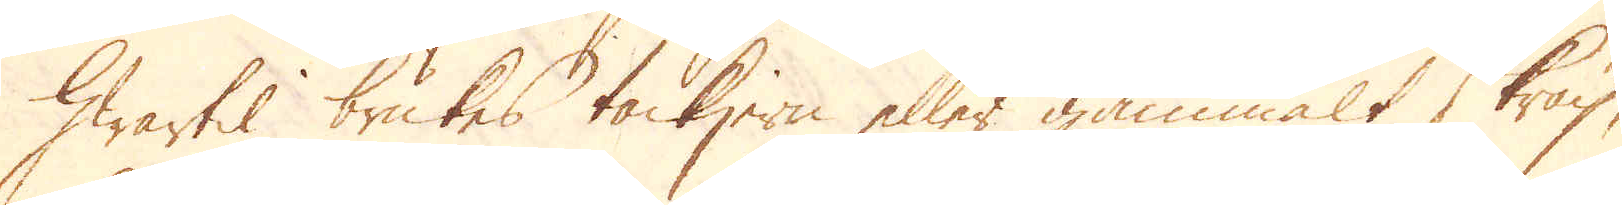hwartil brukes tackjern eller gammalt skräp,
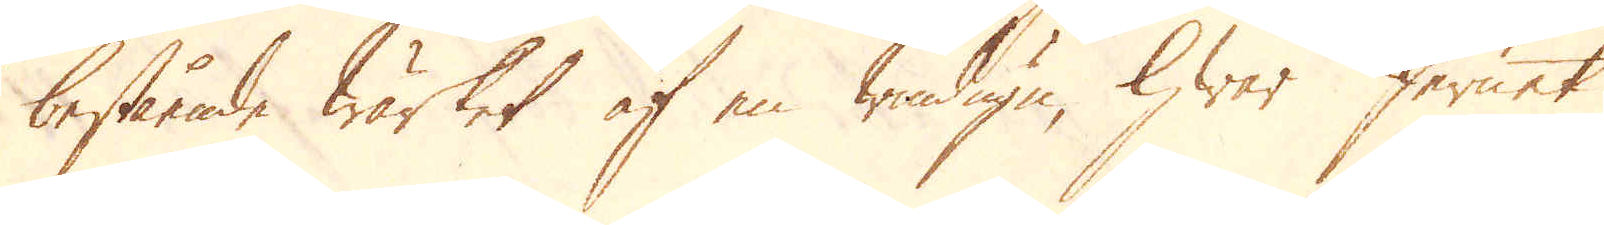bestående wärket af en windugn, hwar Jernet
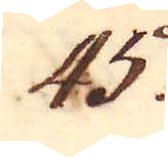45.
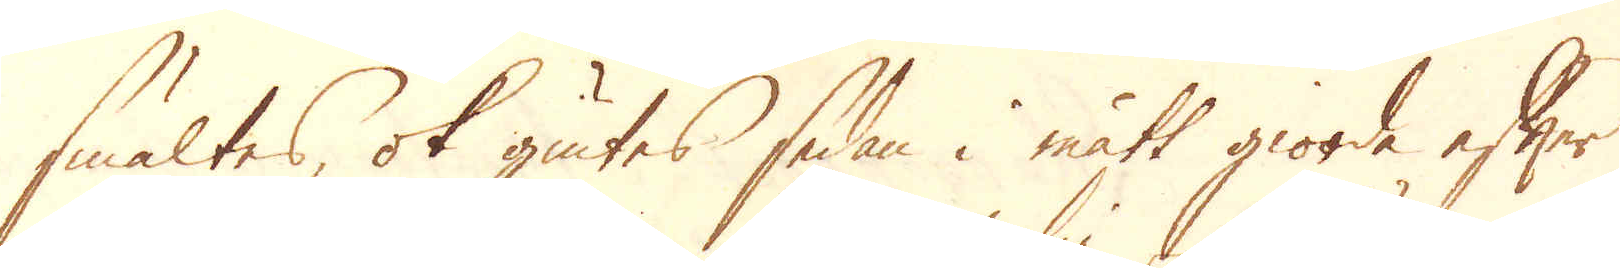smältes, ok giutes sedan i mått giorde efter
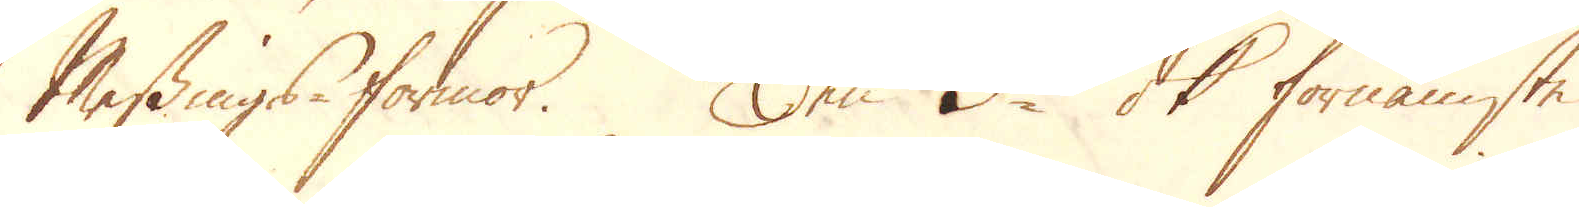Messings-formor. Den 3die ok förnämste
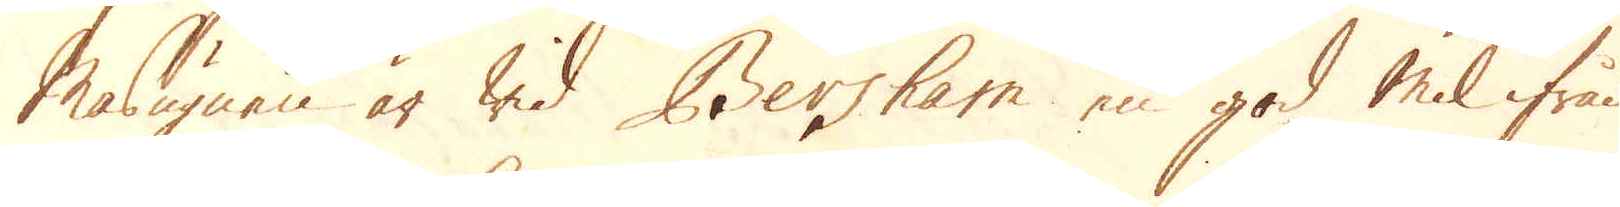masugnen är wid Bersham en god mil ifrån
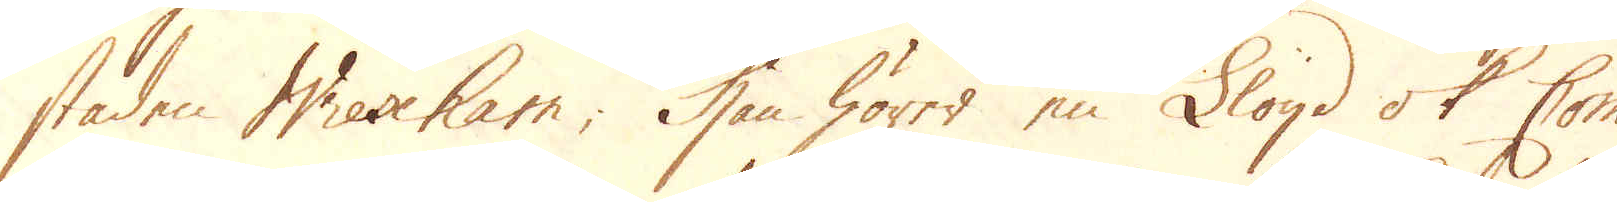staden Wrexham; Hon hörer en Lloyd ok Com-
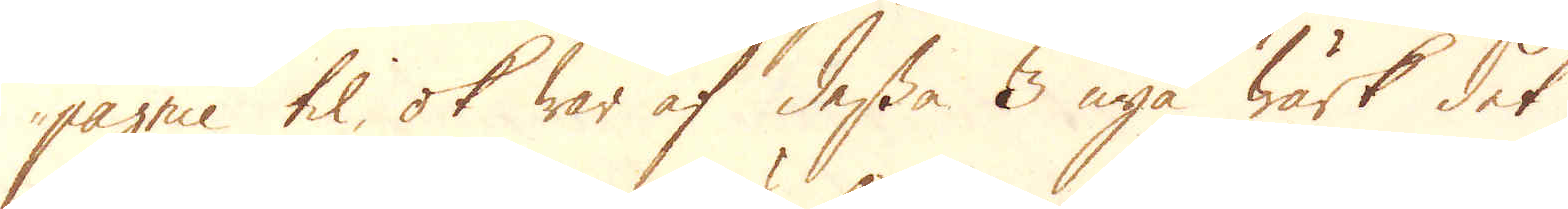pagnie til ok war af dessa 3 nya wärk det
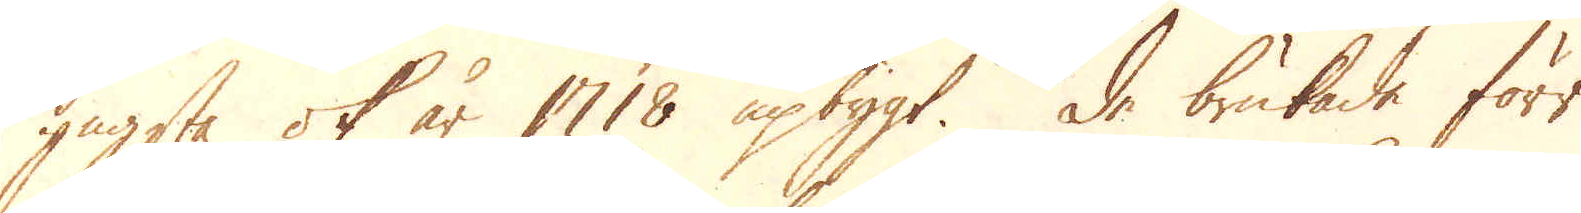yngsta ok år 1718 upbyggt. De brukade förr
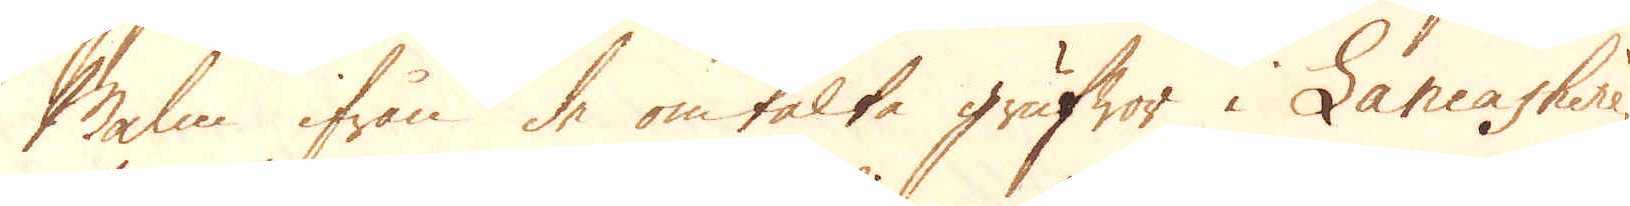Malm ifrån de omtalte grufwor i Lancashire,
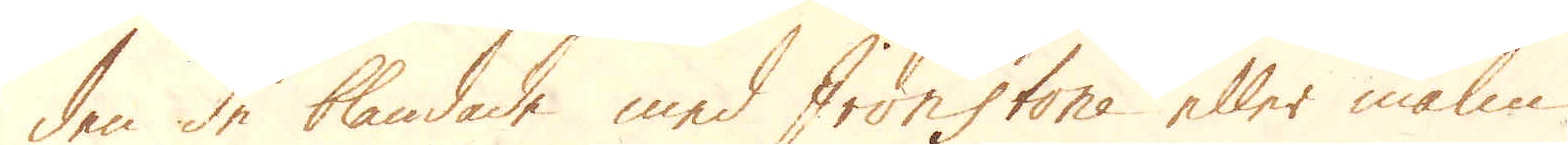den de blandade med Ironstone eller malm,
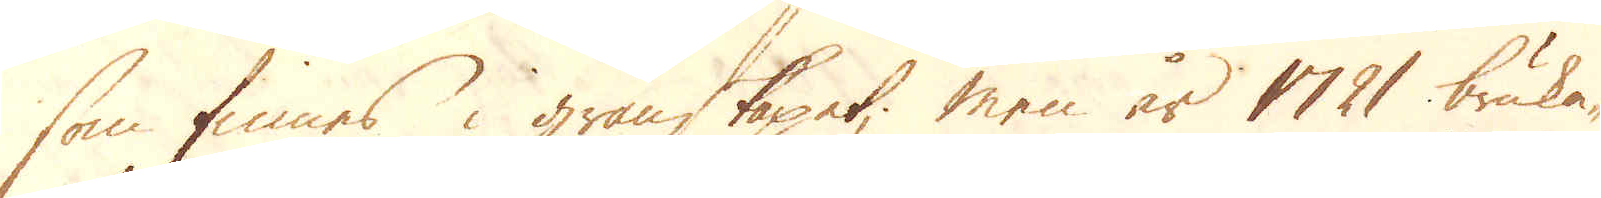som finnes i granskapet; men år 1721 bruka-
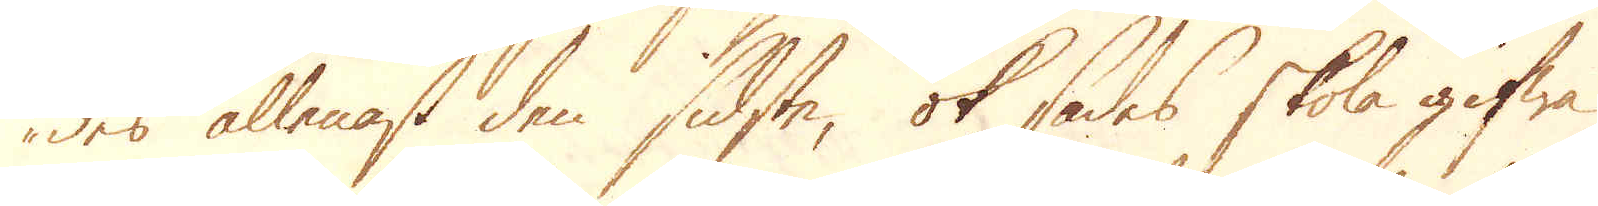des allenast den sidste, ok sades skola gifwa
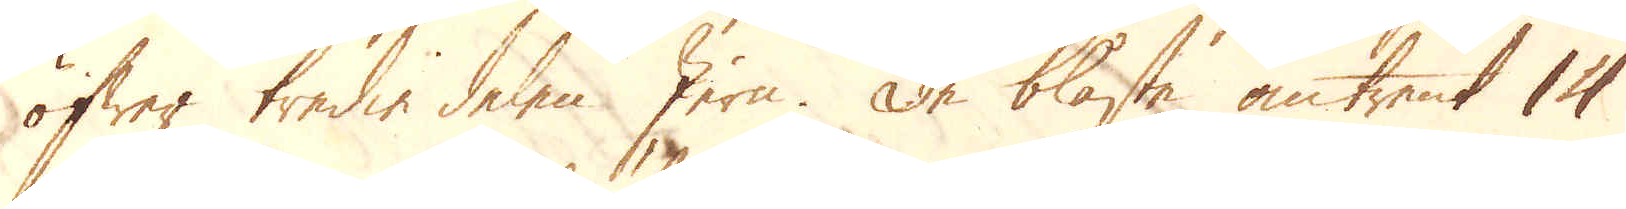öfwer tredie delen Jern. De blåste omtrent 14
